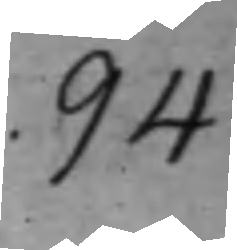94
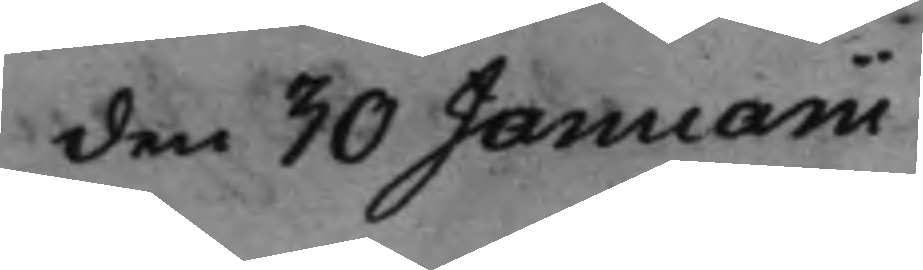den 30 Januarii
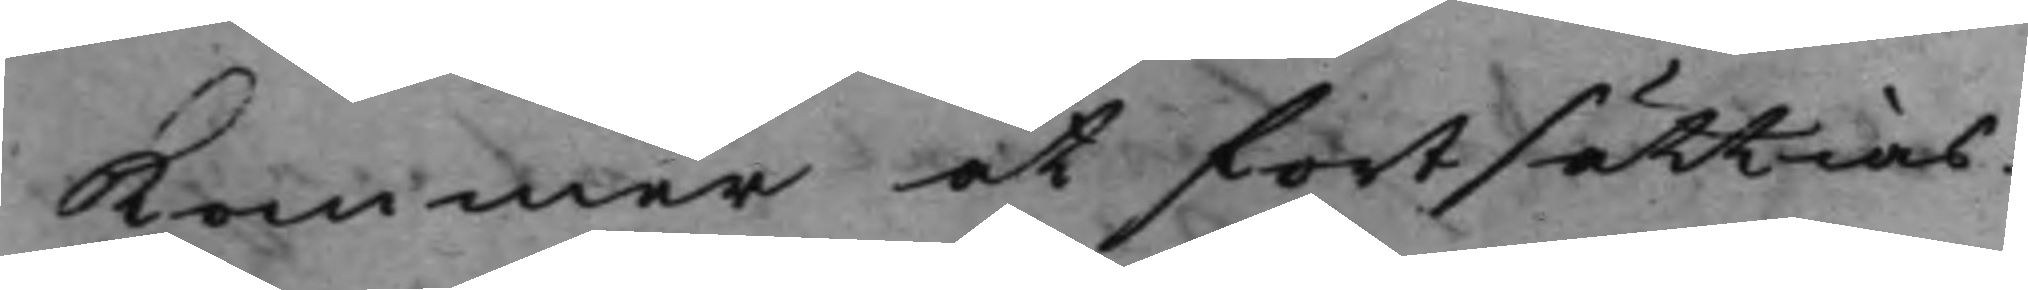kommer at fortsättias.
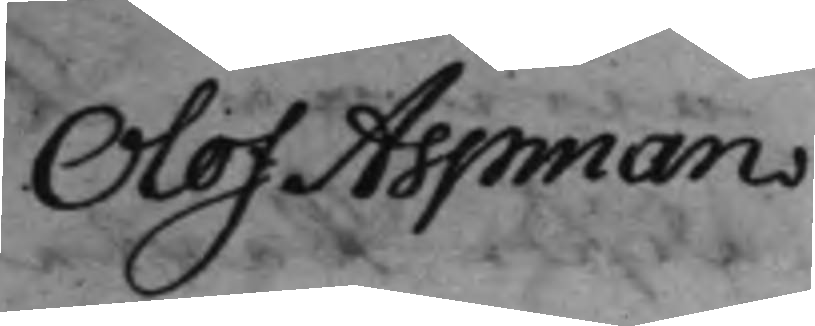Olof Aspman
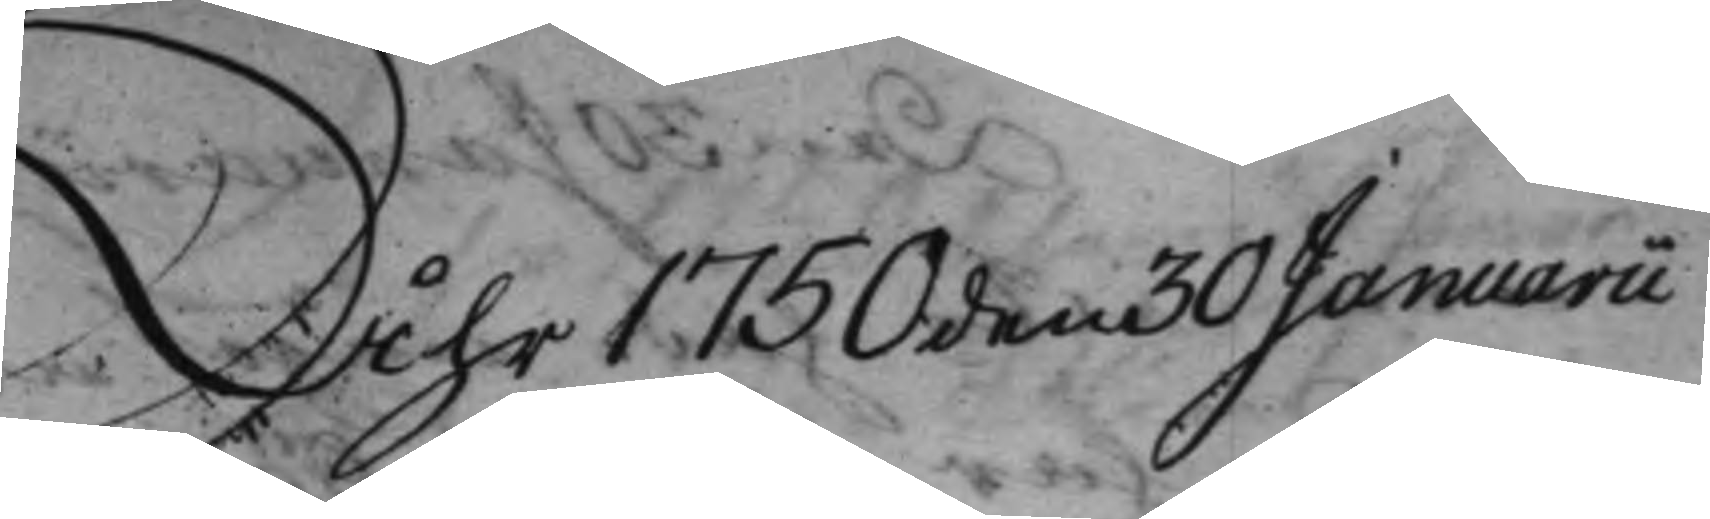Åhr 1750 den 30 Januarii
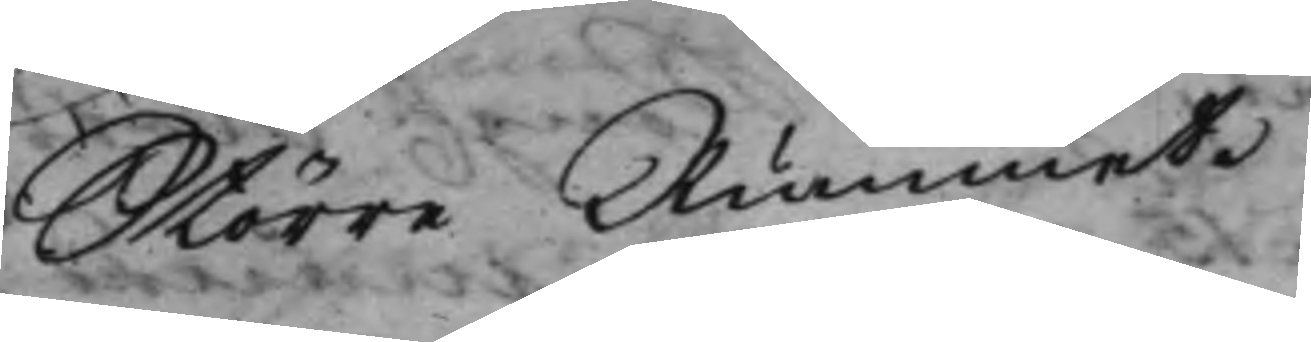Större Rummet.
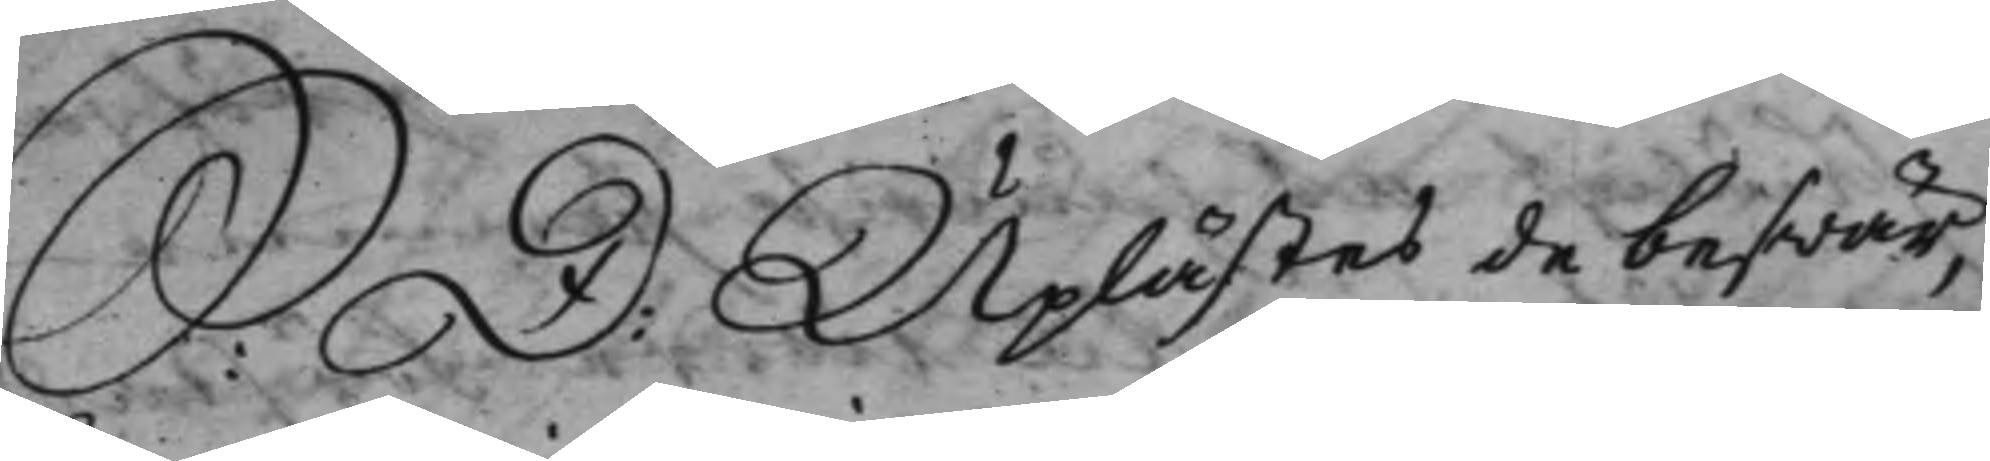S: D: Uplästes de beswär,
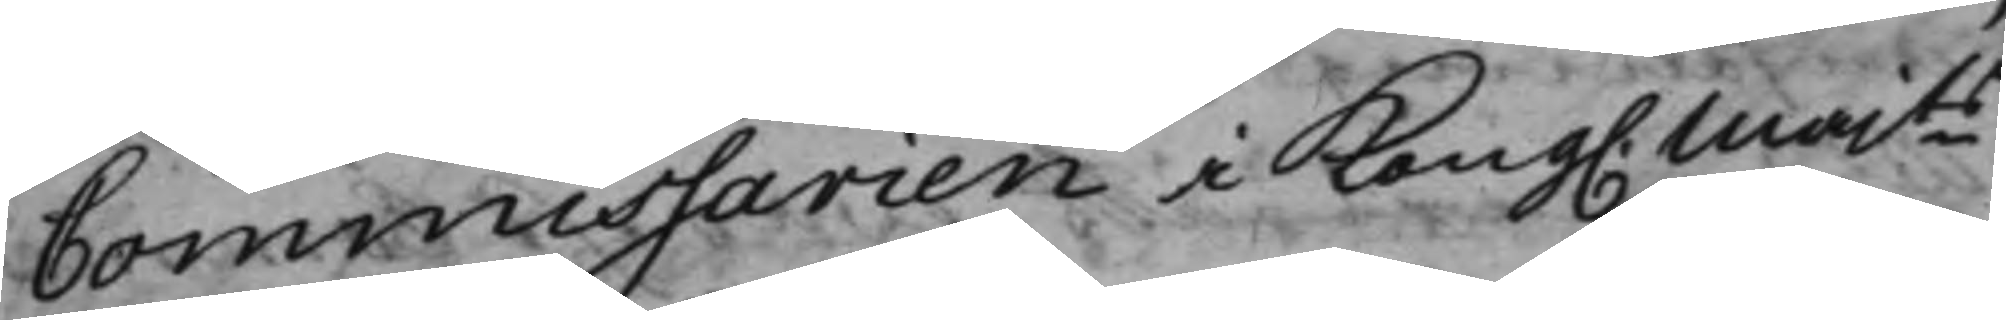Commissarien i Kong. Majts
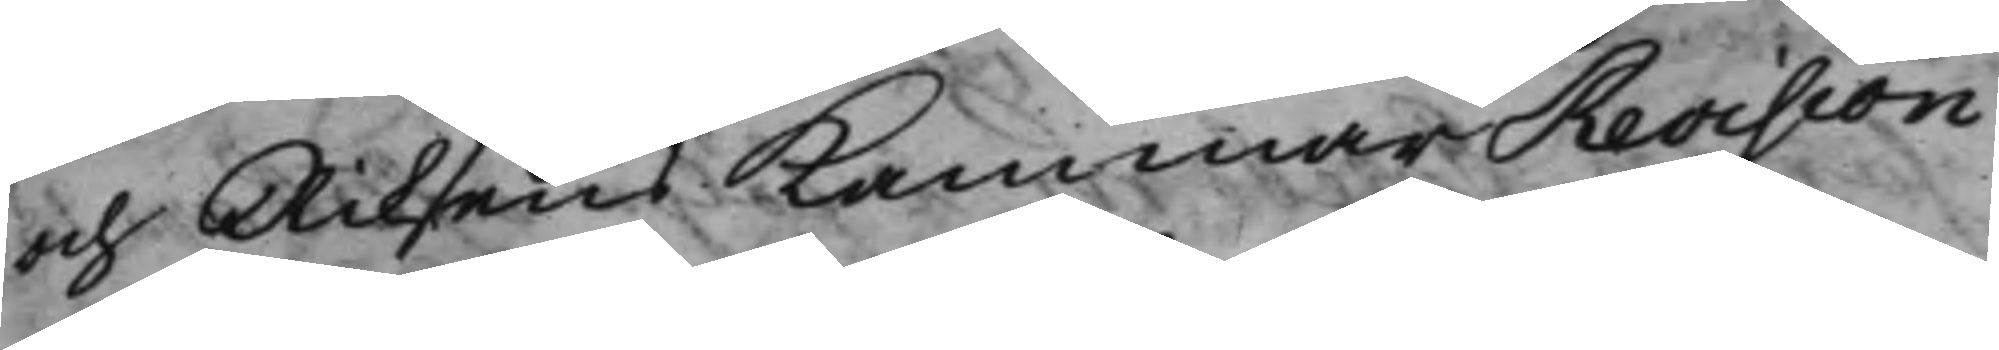och Riksens KammarRevision
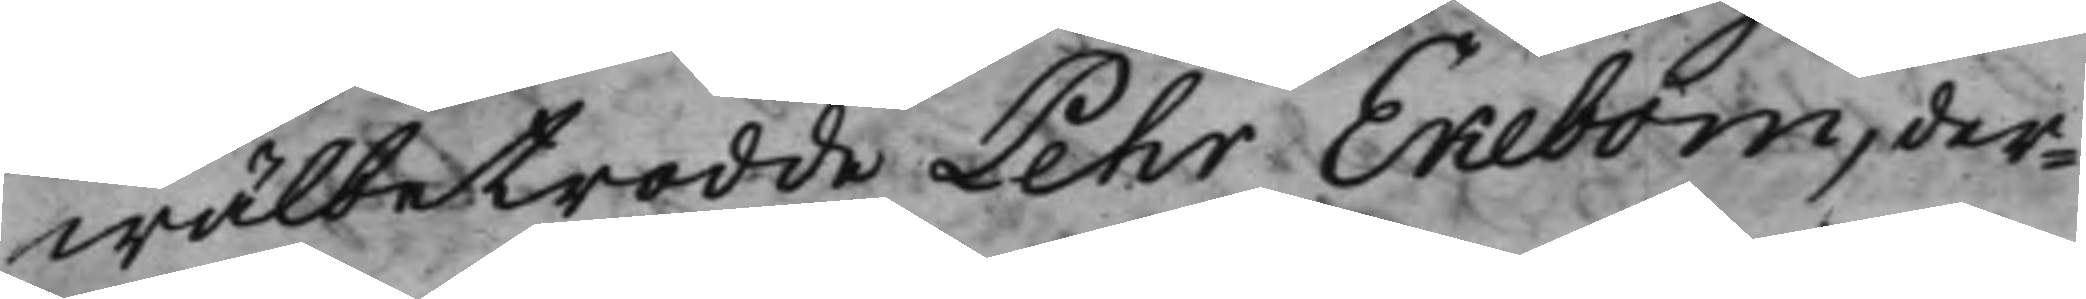wälbetrodde Pehr Ekebom, der¬
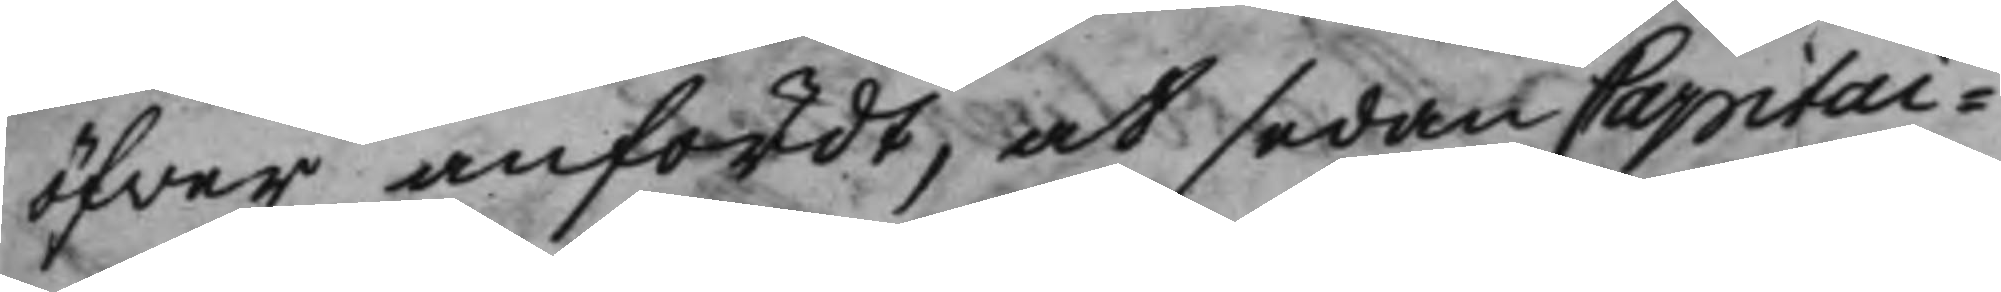öfwer anfördt, at sedan Capitai¬
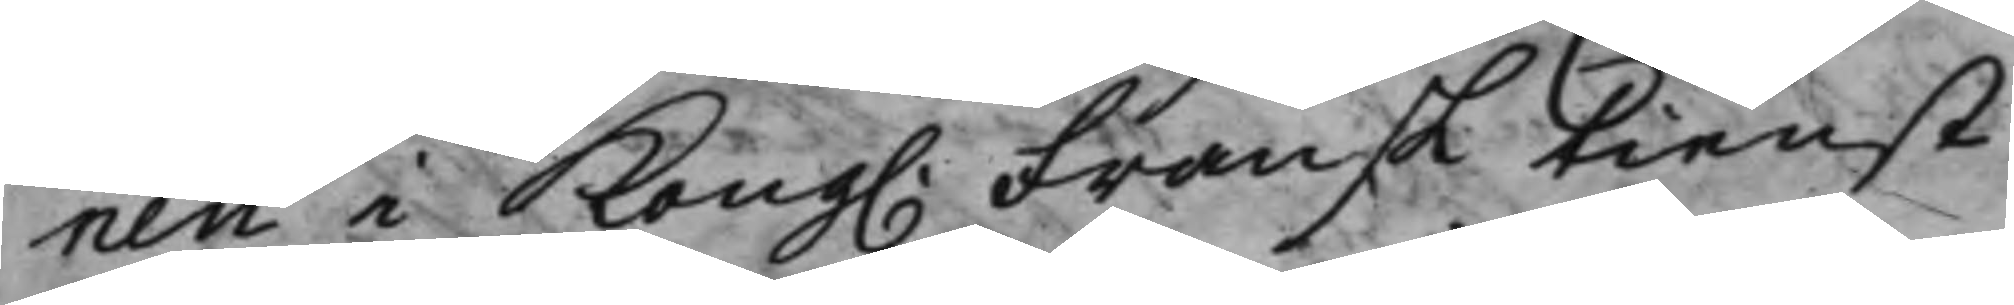nen i Kong. Fransk tienst
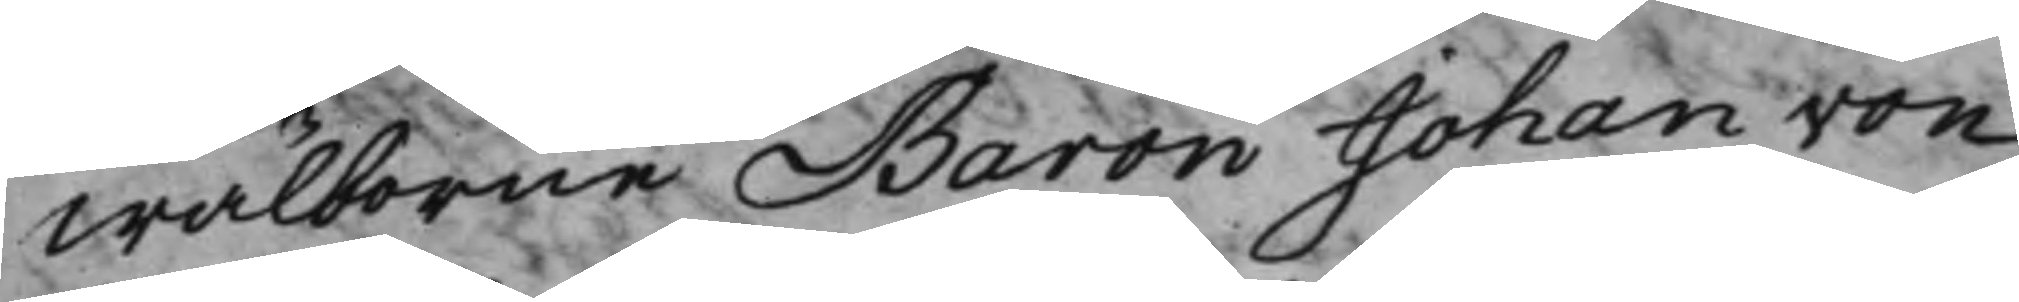Wälborne Baron Johan von
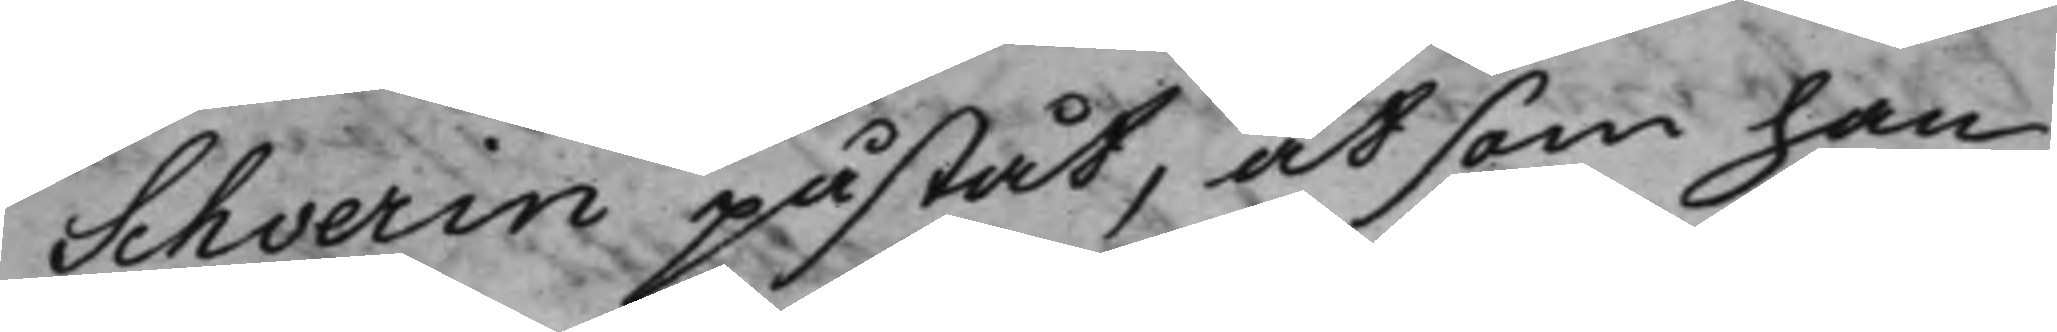Schverin påståt, at som han
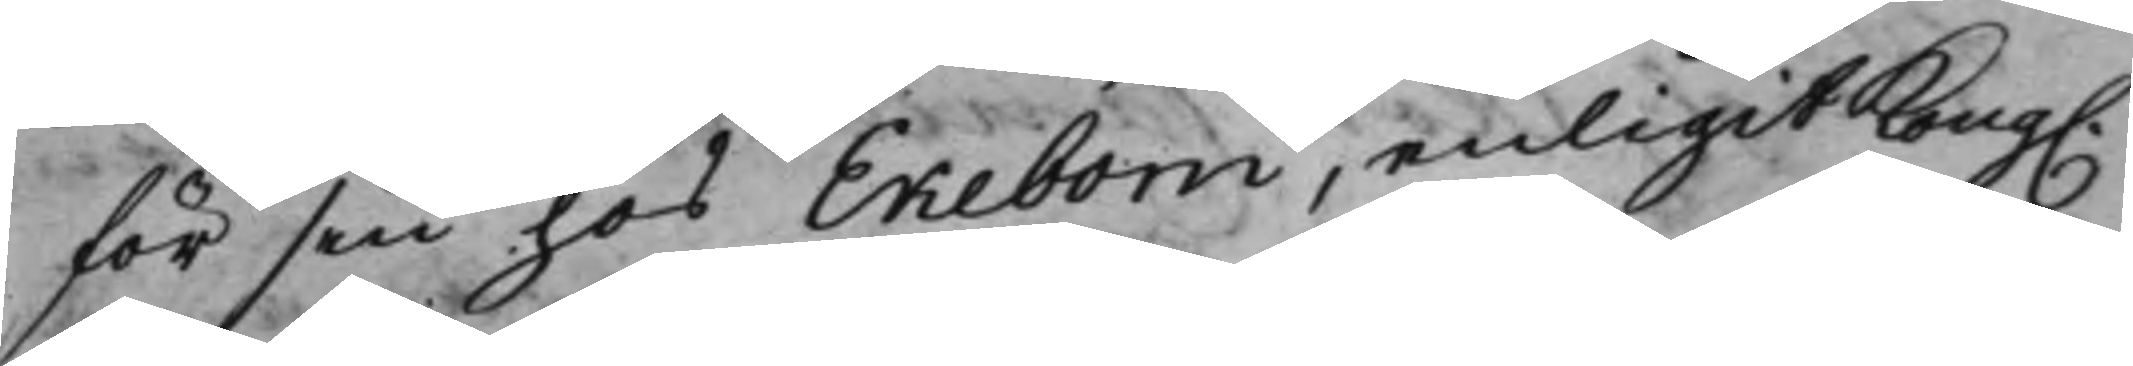för sin hos Ekebom, enligit Kong.
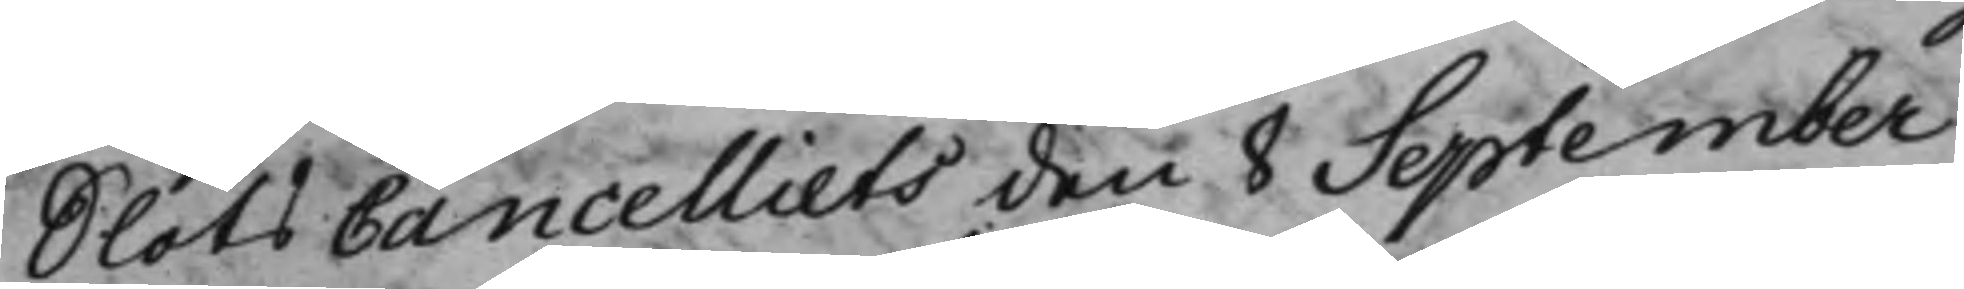SlotsCancelliets den 8 September
